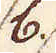b.
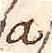a
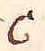c
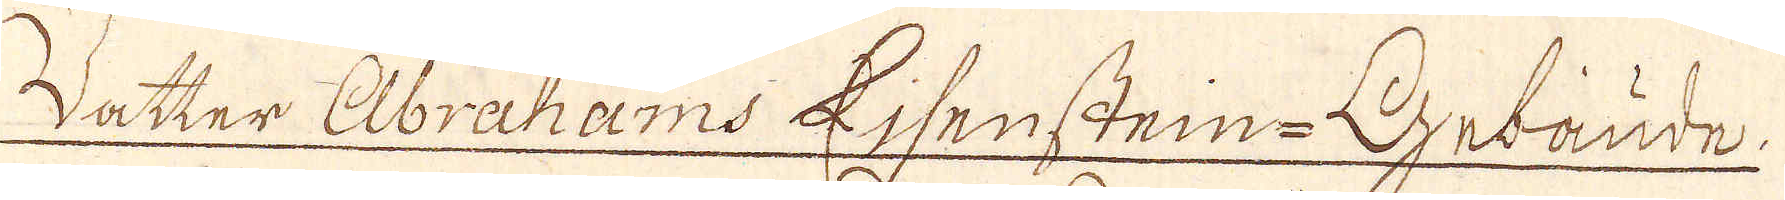Walter Abrahams Ejsenstein-Gebaude.
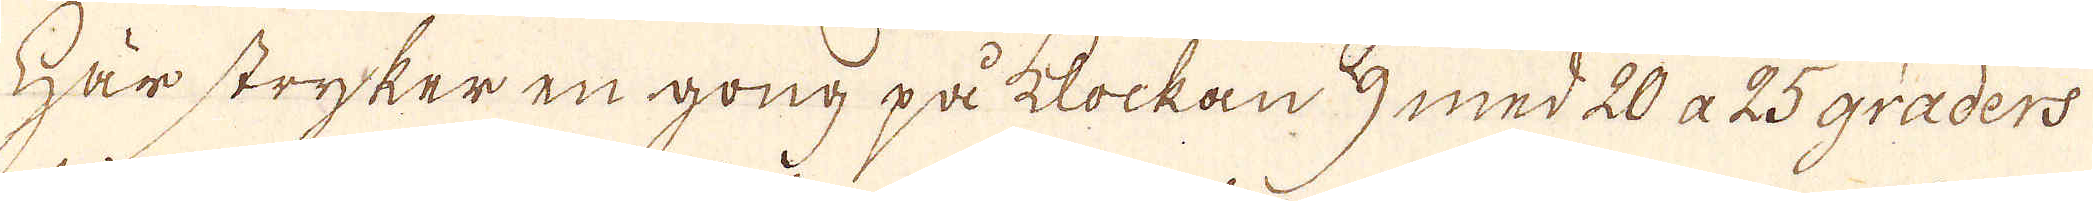Här stryker en gong på klockan 9 med 20 a 25 graders
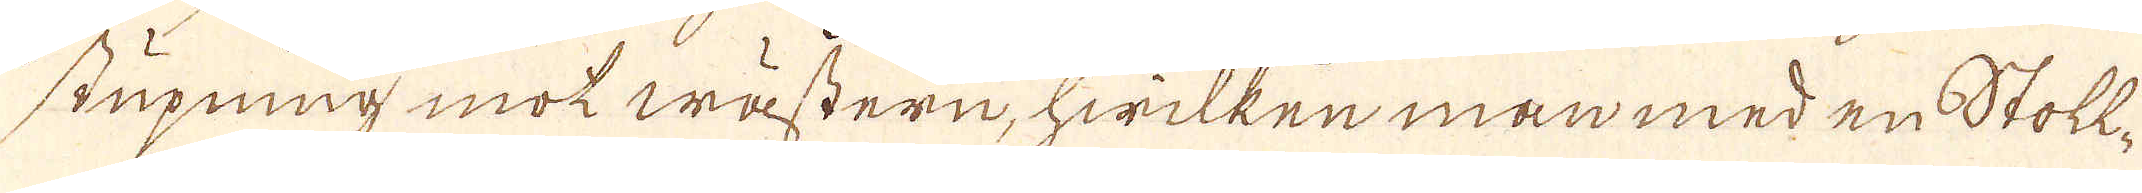stupning mot wästern, hwilken man med en Stoll-
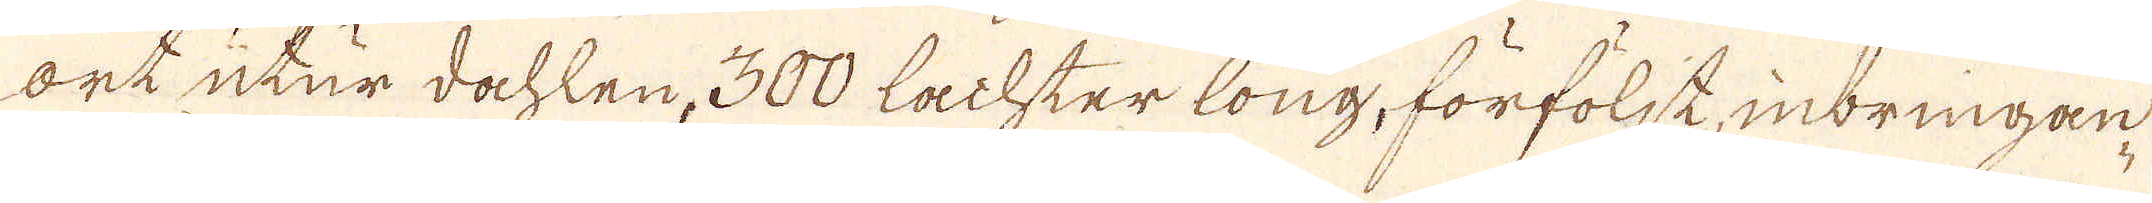ort utur dahlen, 300 Lachter long, förföljk, inbringan-
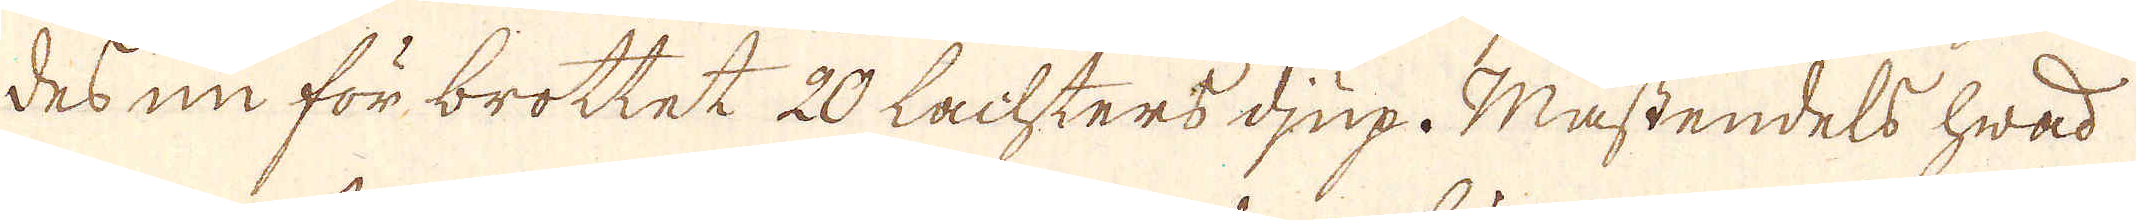des nu för brottet 20 Lachters djup. Mästendels hwad
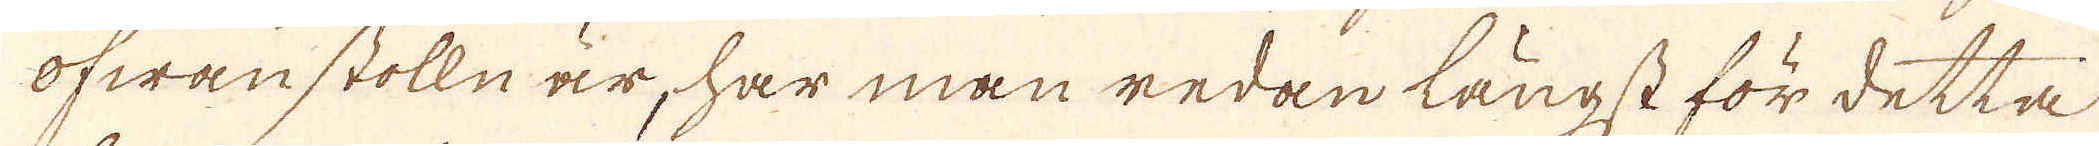ofwan stolln är, har man redan längst för detta
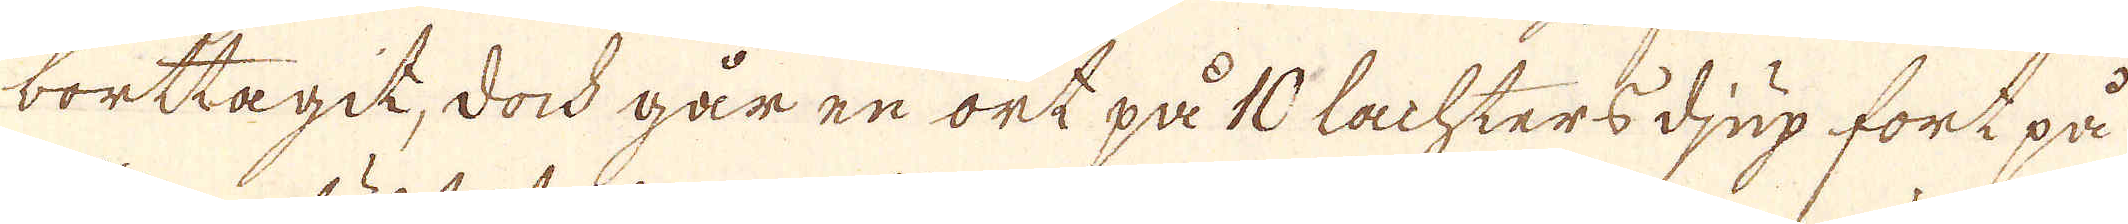borttagit, dock går en ort på 10 Lachters djup fort på
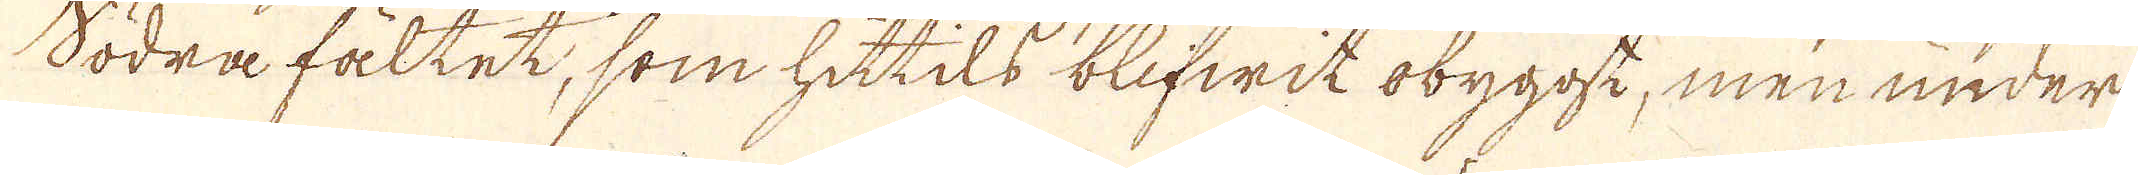södra fältet, som hittils blifwit obygge, men under
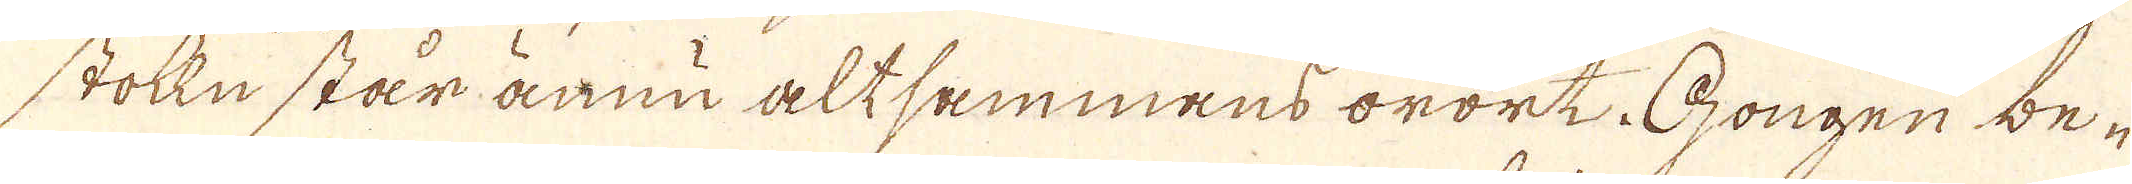stolln står ännu altsammans orört, Gongen be-
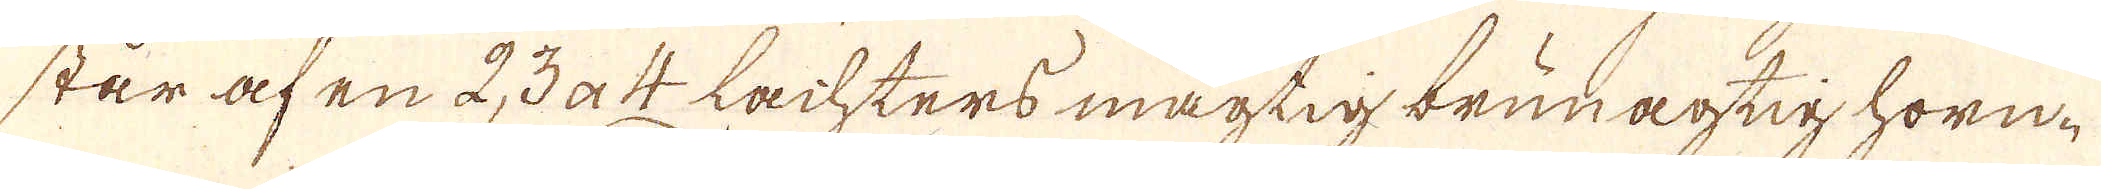står af en 2, 3 a 4 Lachters mägtig brunagtig horn-
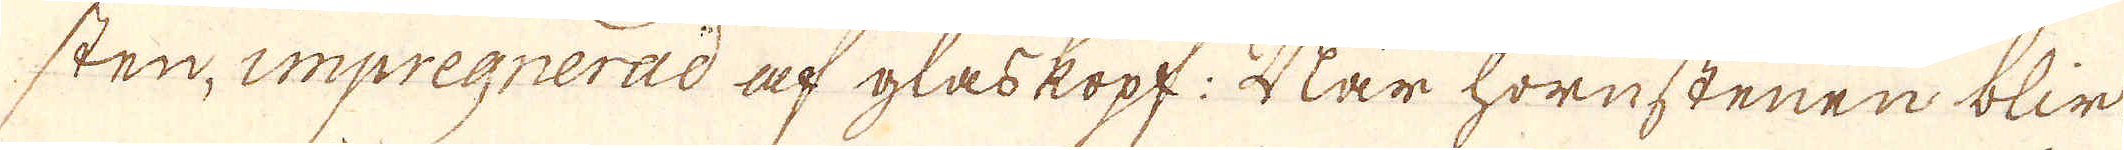sten, impregnerad af glaskopf. När hornstenen blir
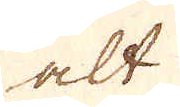alt
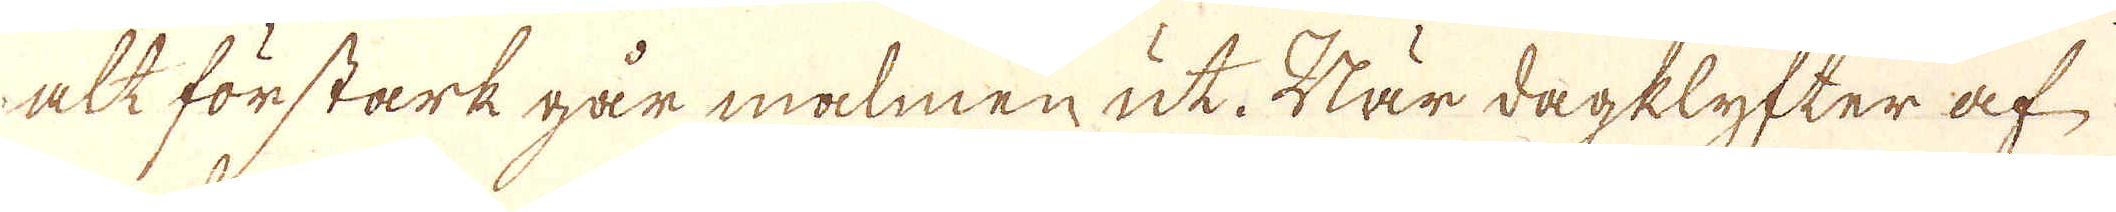alt för stark går malmen ut. När dagklyfter af
